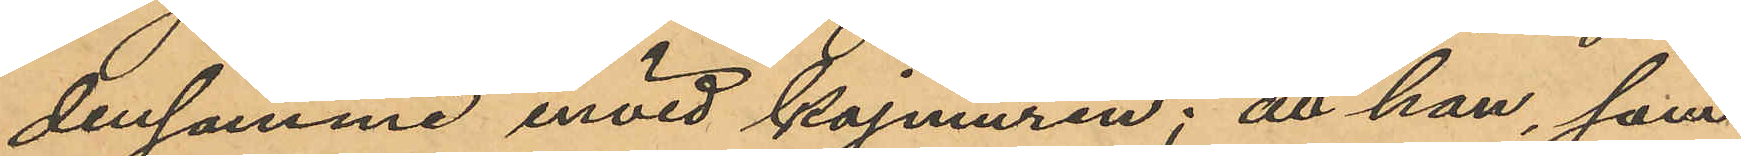densamme invid kajmuren; att han, som
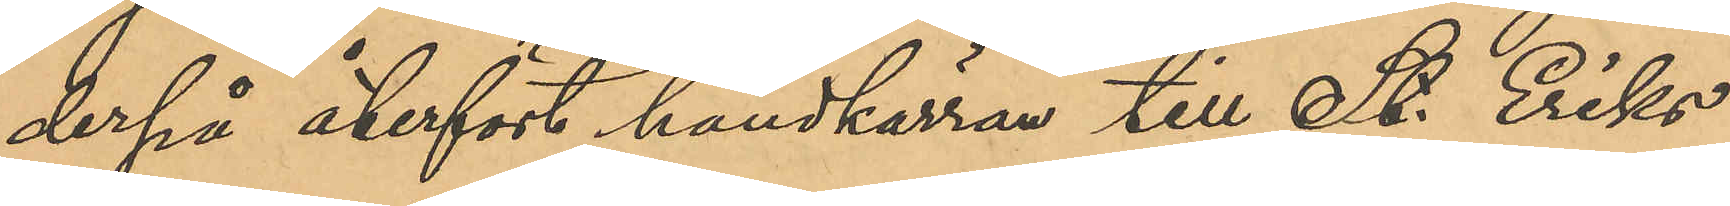derpå återfört handkärran till St. Eriks
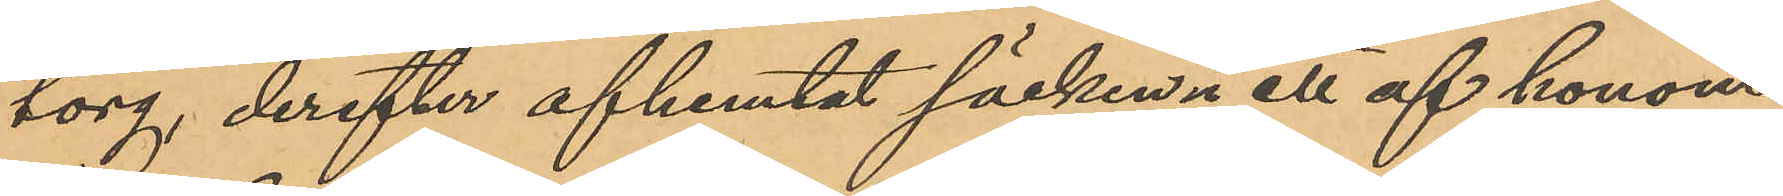torg, derefter afhemtat säcken; ett af honom
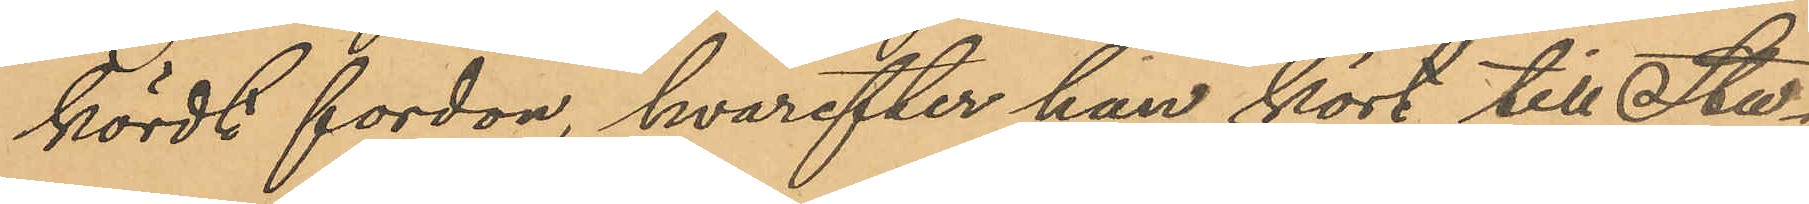kördt fordon, hvarefter han kört till Stu¬
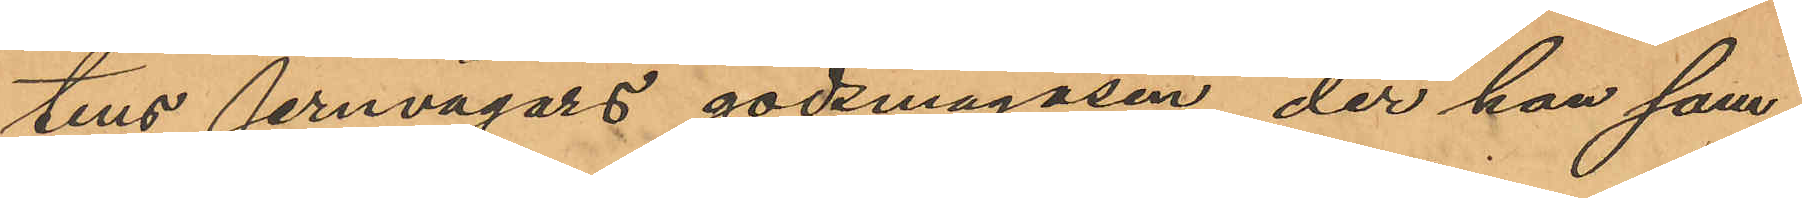tens jernvägars godsmagasin, der han sam¬
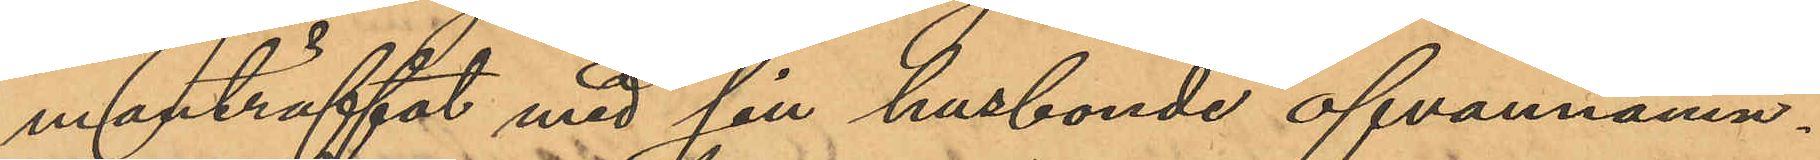manträffat med sin husbonde ofvannämn¬
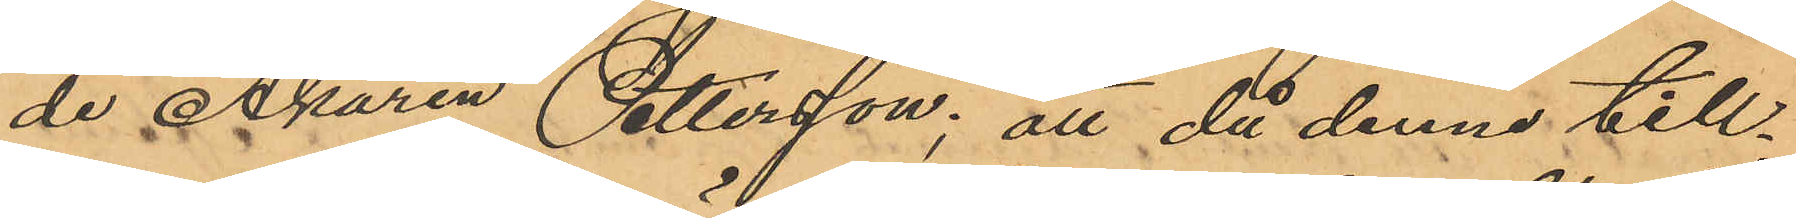de Åkaren Pettersson; att då denne till¬
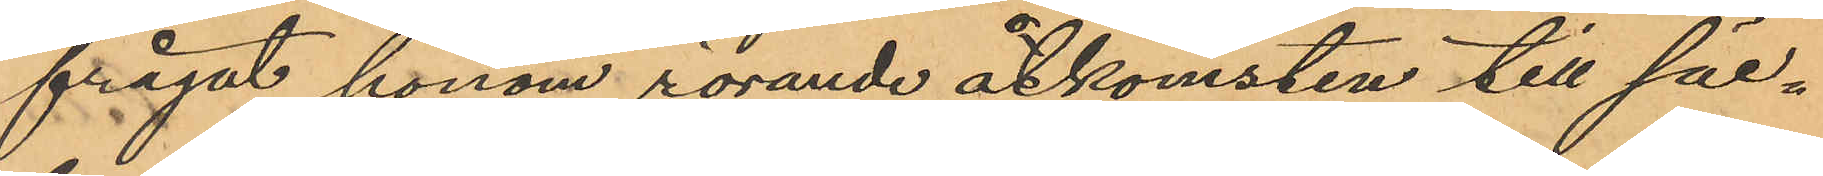frågat honom rörande åtkomsten till säc¬
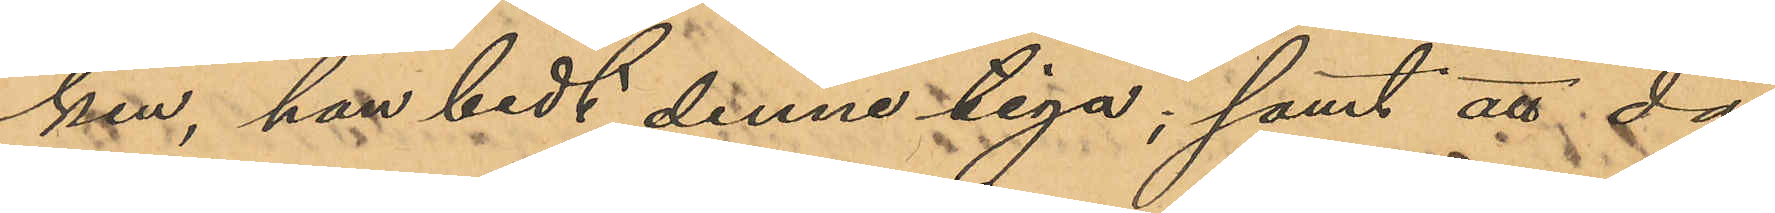ken, han bedt denne tiga; samt att då
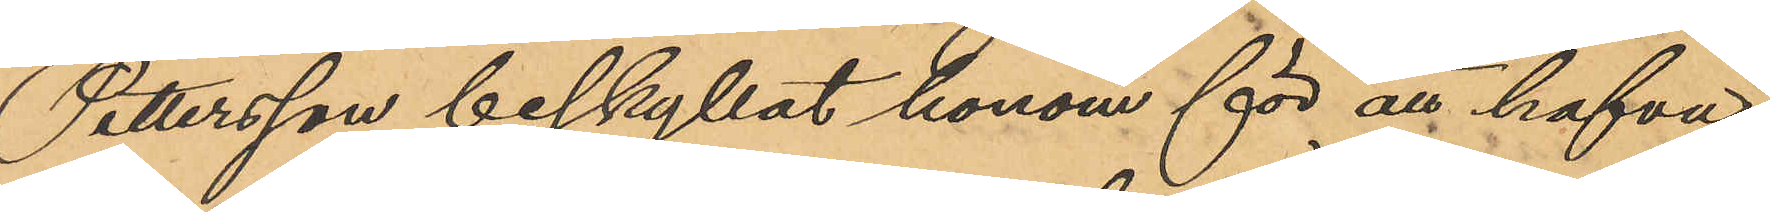Pettersson beskyllat honom för att hafva
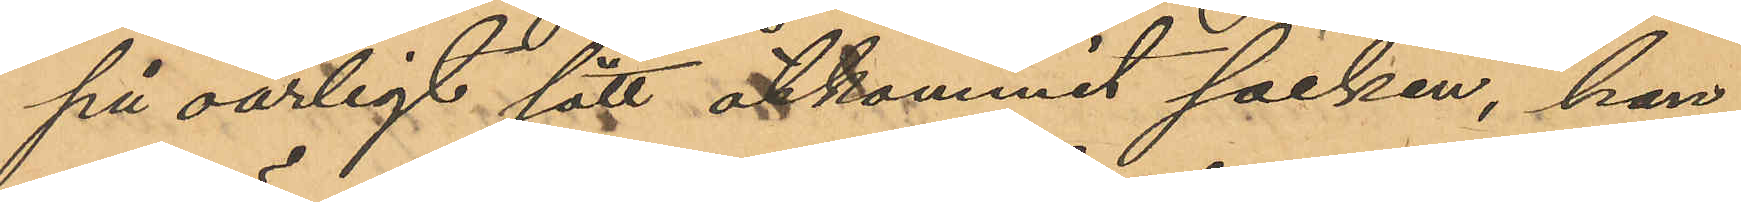på oärligt sätt åtkommit säcken, han
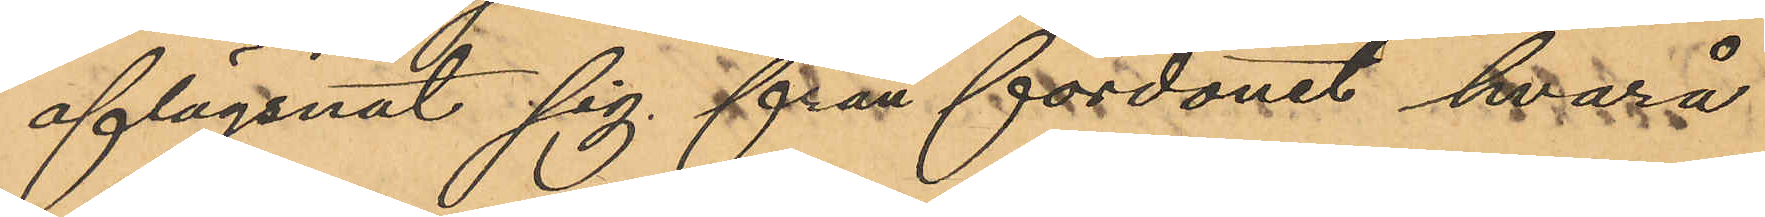aflägsnat sig från fordonet hvarå
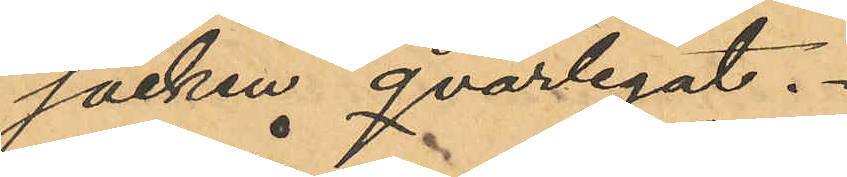säcken qvarlegat.
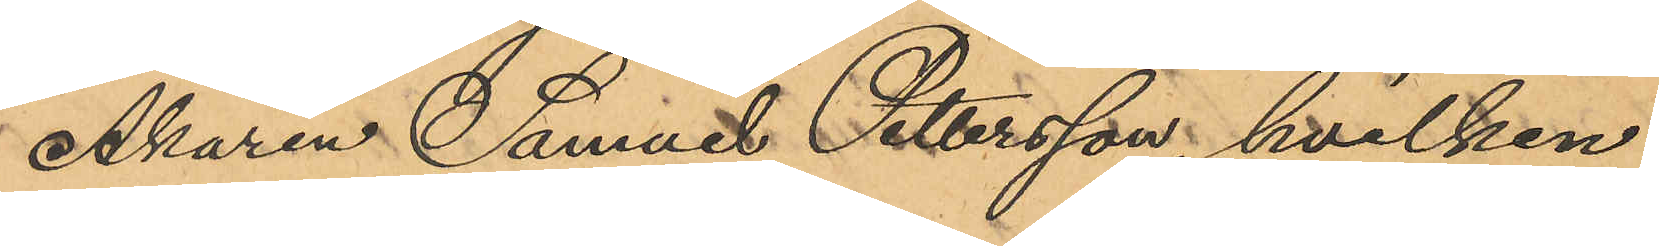Åkaren Samuel Pettersson, hvilken
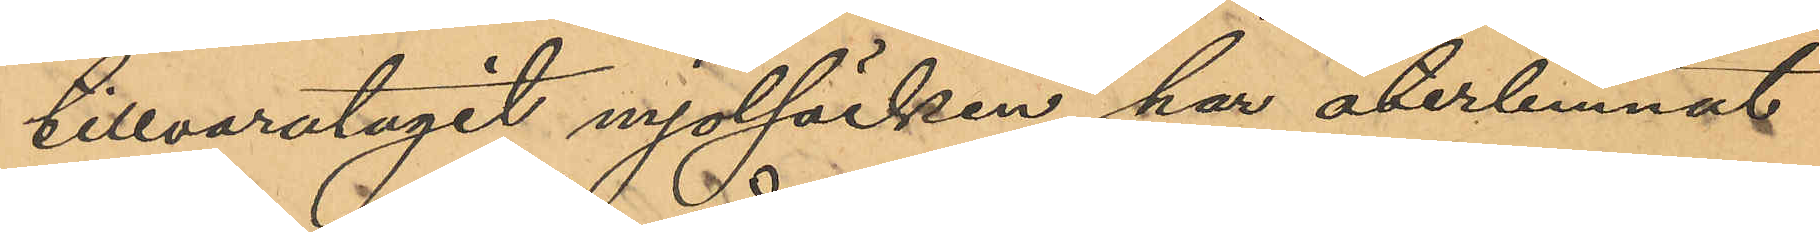tillvaratagit mjölsäcken, har återlemnat
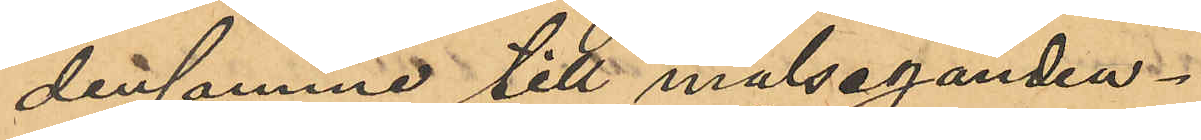densamme till målseganden.
